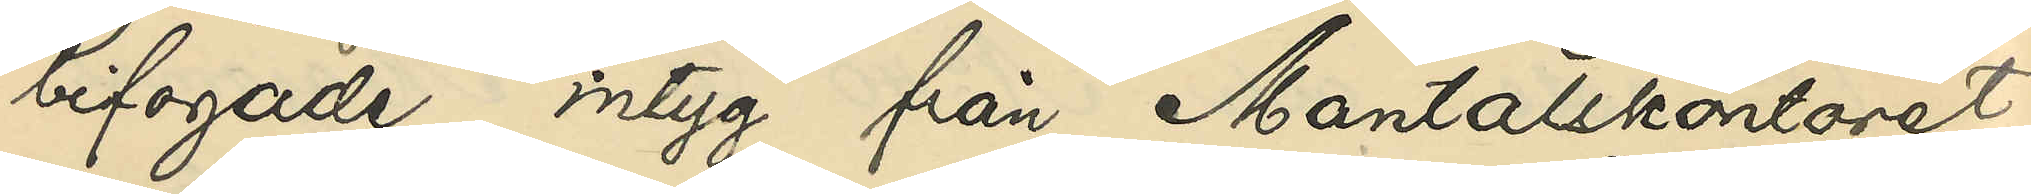bifogade intyg från Mantalskontoret
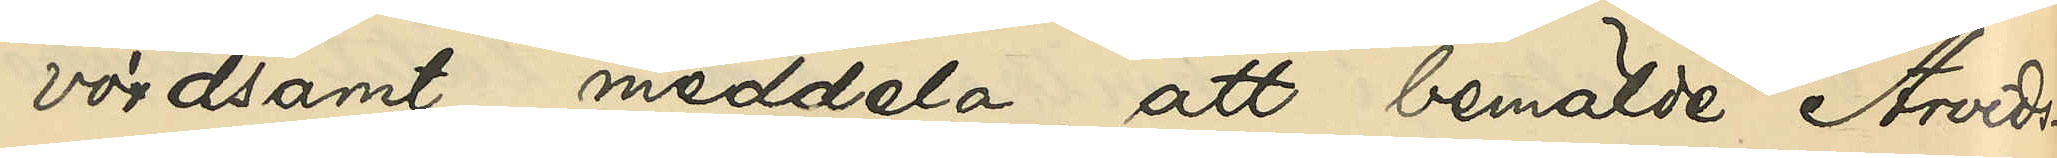vördsamt meddela, att bemälde Arvids¬
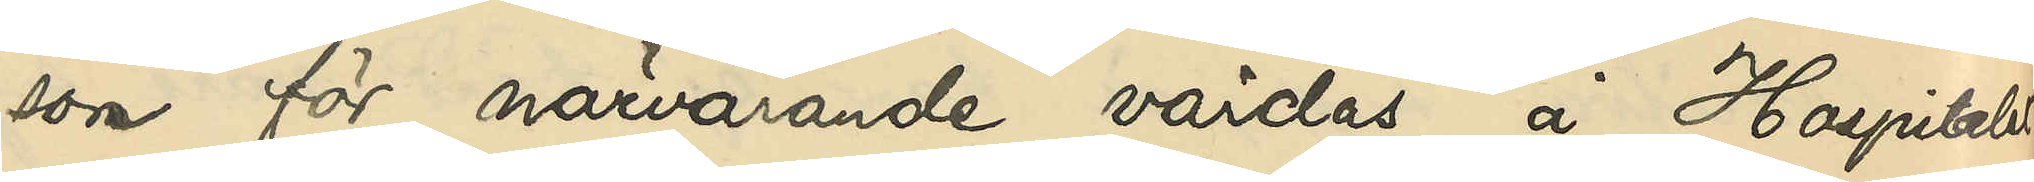son för närvarande vårdas å Hospitalet
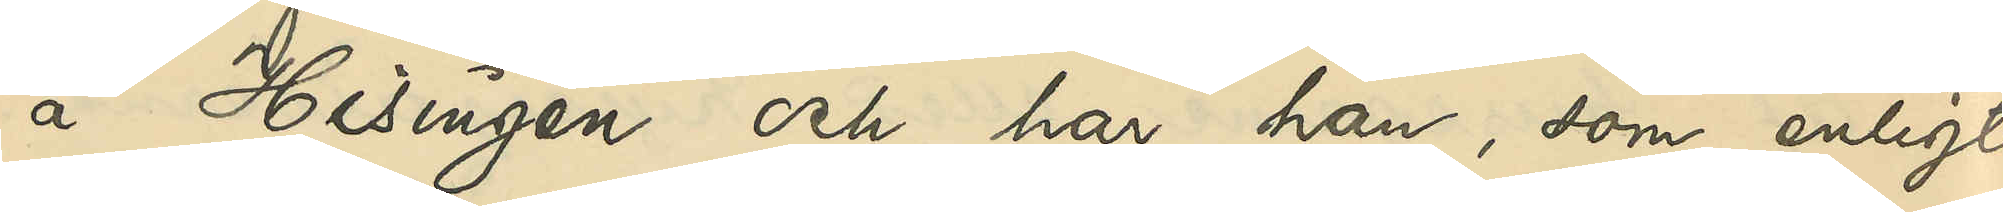å Hisingen och har han, som enligt
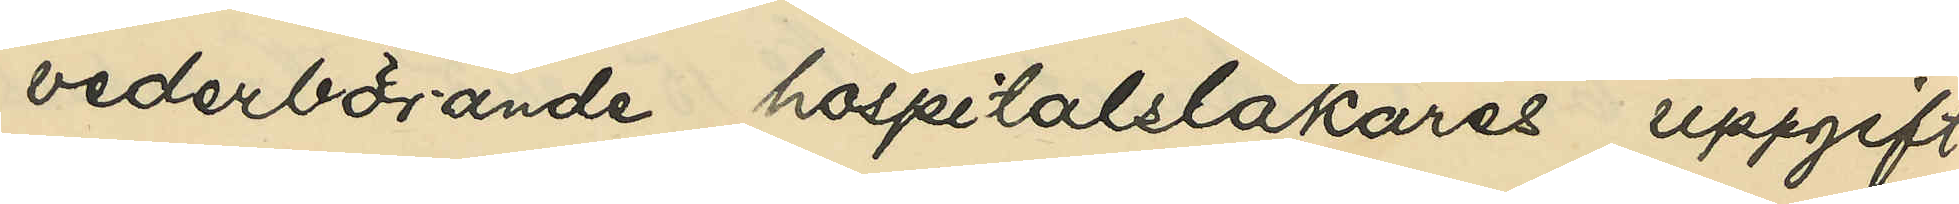vederbörande hospitalsläkares uppgift
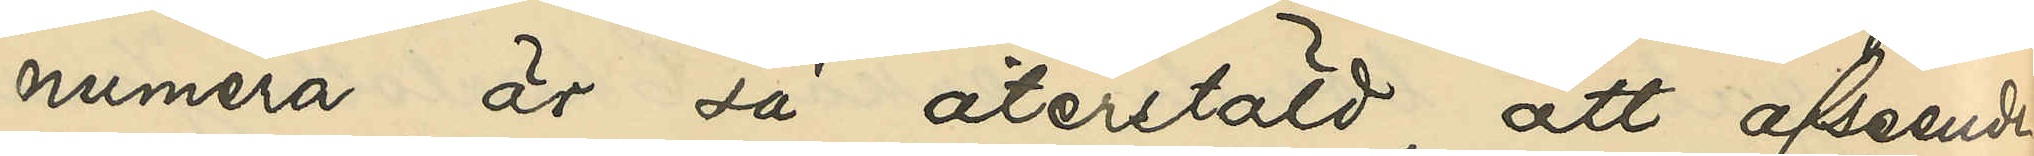numera är så återstäld, att afseende
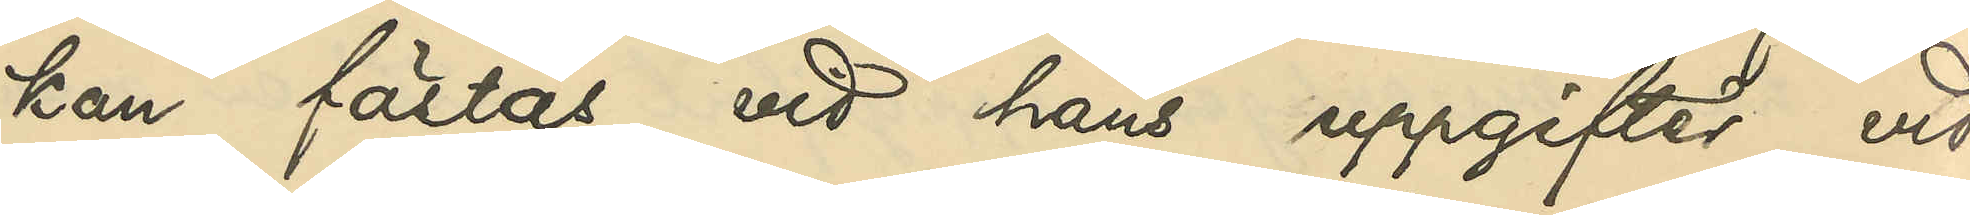kan fästas vid hans uppgifter, vid
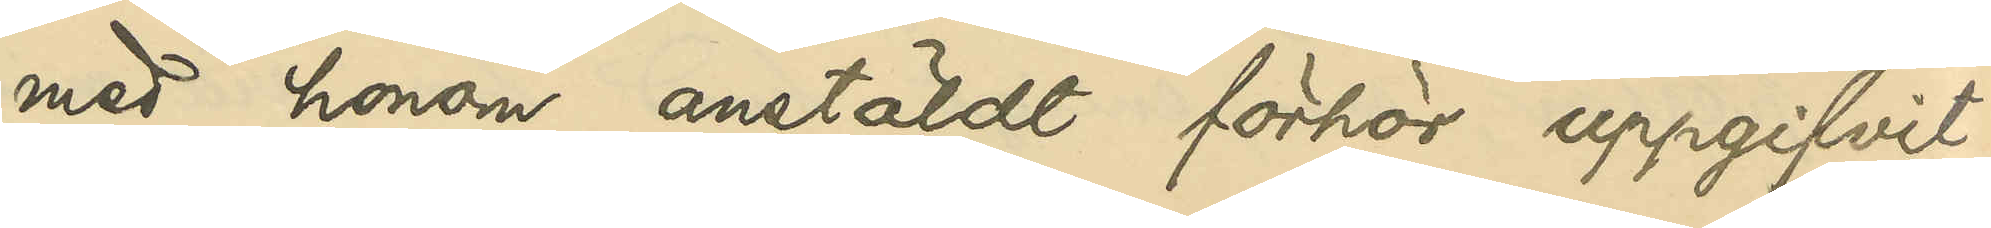med honom anstäldt förhör uppgifvit,
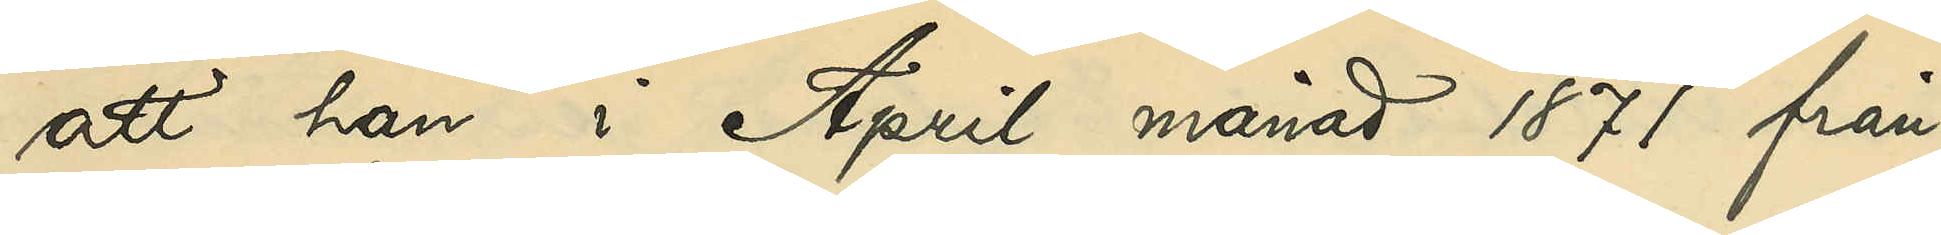att han i April månad 1871 från
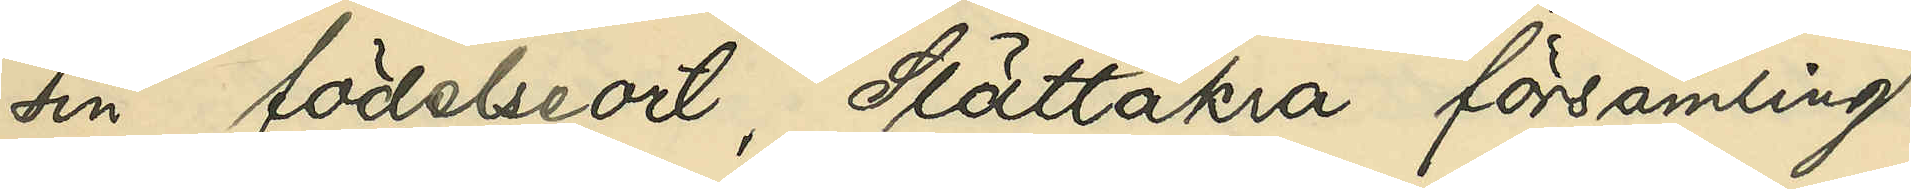sin födelseort, Slättåkra församling
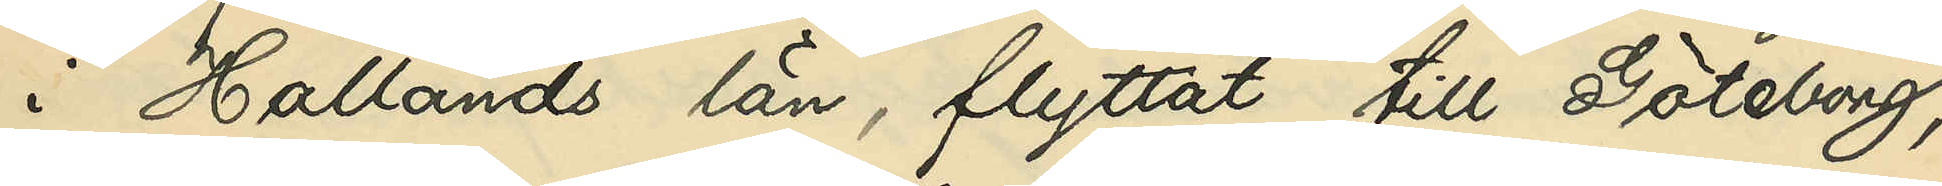i Hallands län, flyttat till Göteborg,
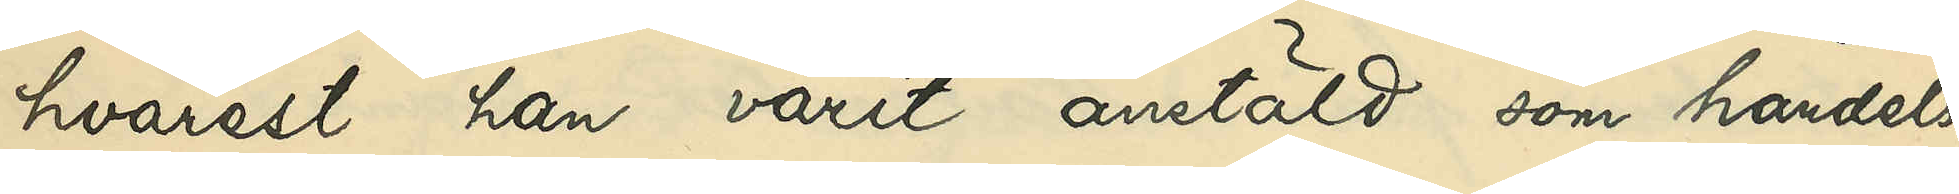hvarest han varit anstäld som handels¬
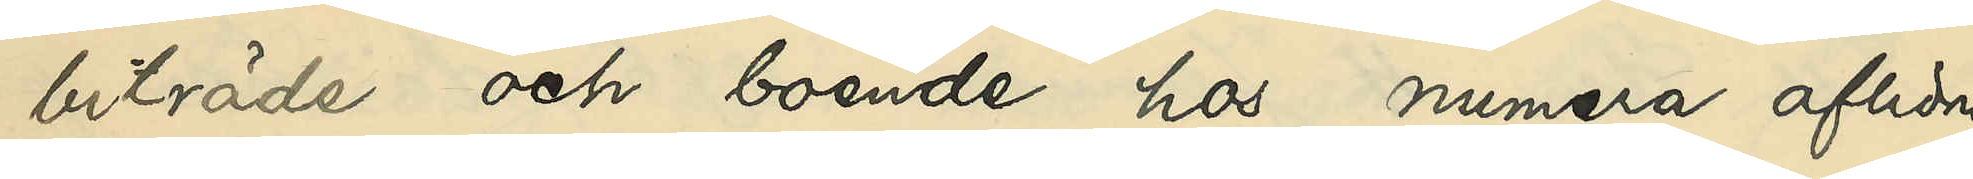biträde och boende hos numera aflidne
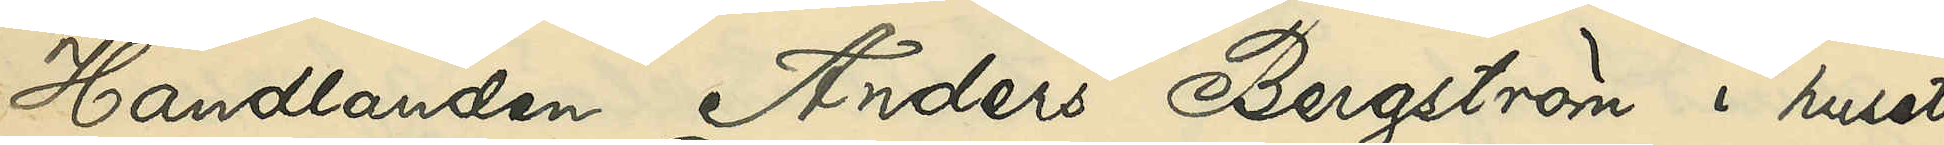Handlanden Anders Bergström i huset
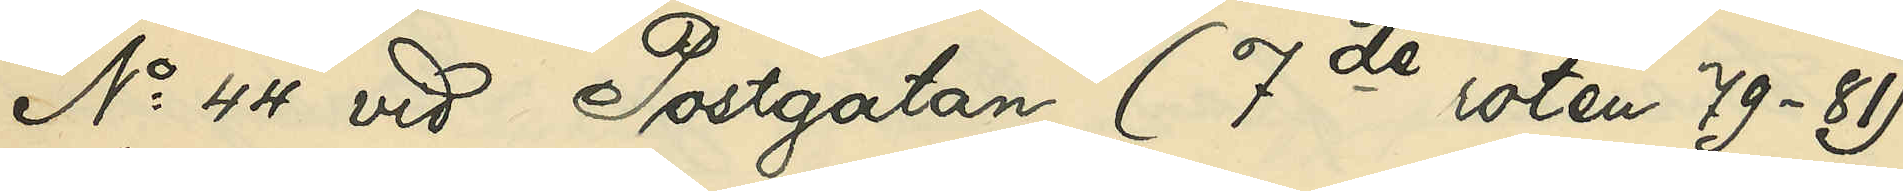No 44 vid Postgatan (7de roten 79-81)
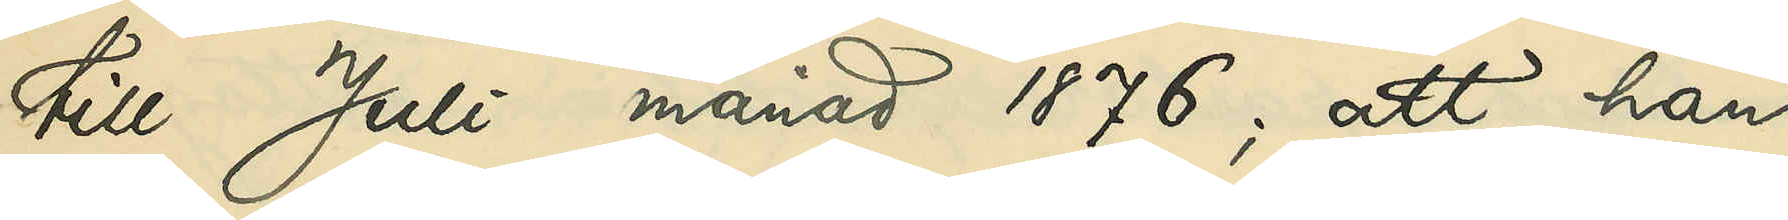till Juli månad 1876; att han
